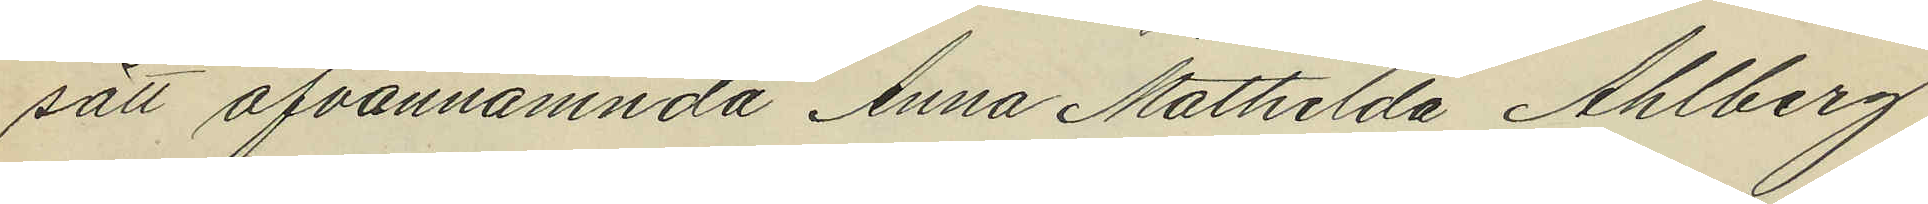sätt ofvannämnda Anna Mathilda Ahlberg
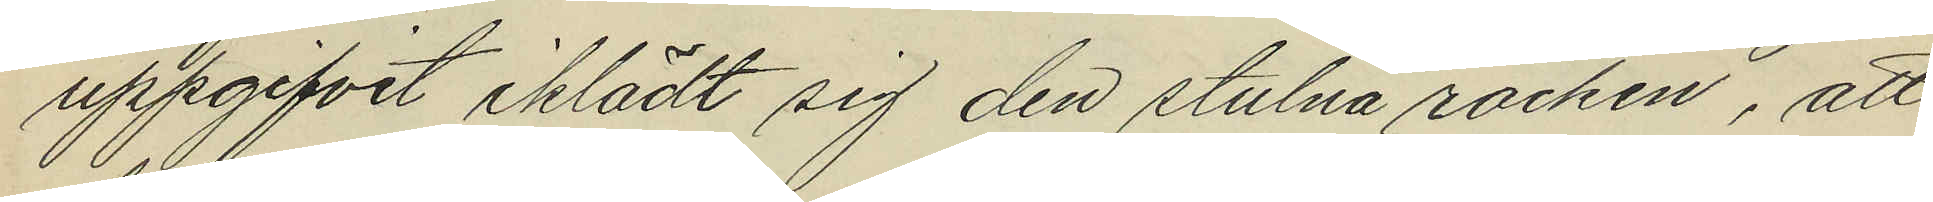uppgifvit iklädt sig den stulna rocken, att
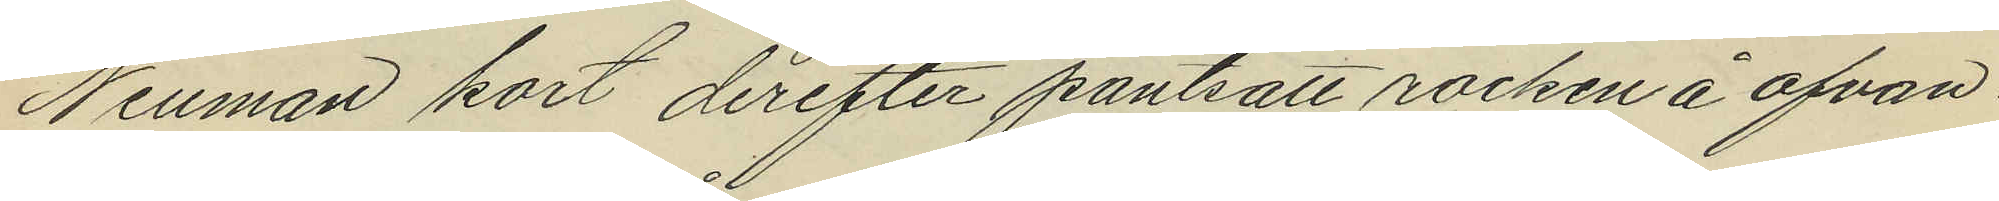Neuman kort derefter pantsatt rocken å ofvan¬
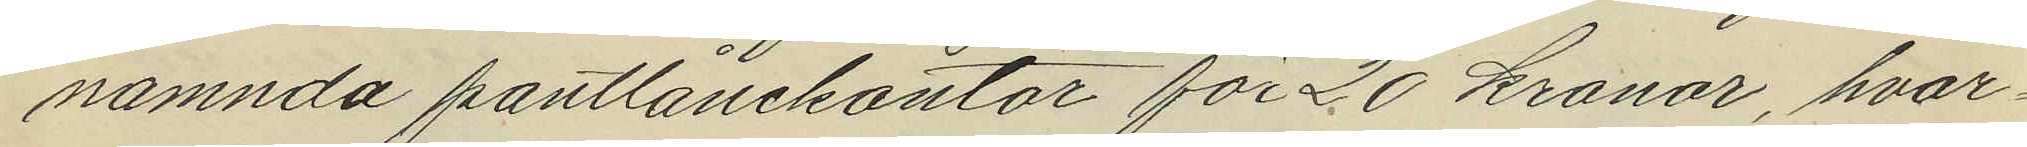namnda pantlånekontor för 20 kronor, hvar¬
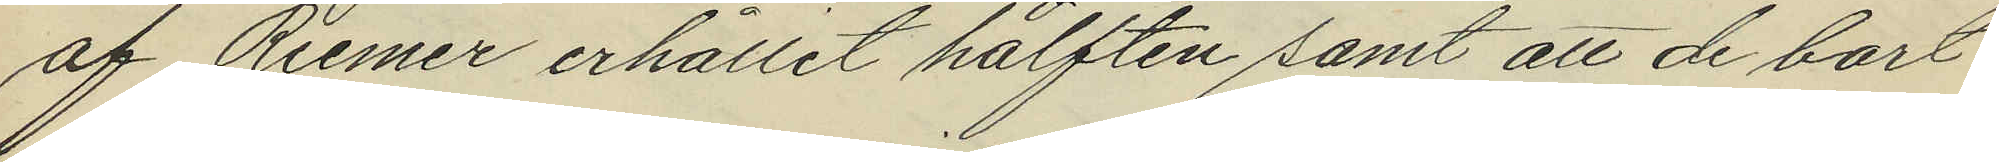af Riemer erhållit hälften samt att de bort¬
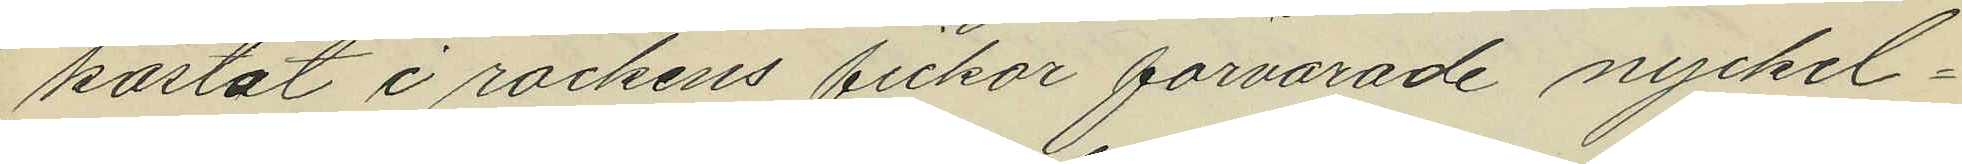kastat i rockens fickor förvarade nyckel¬
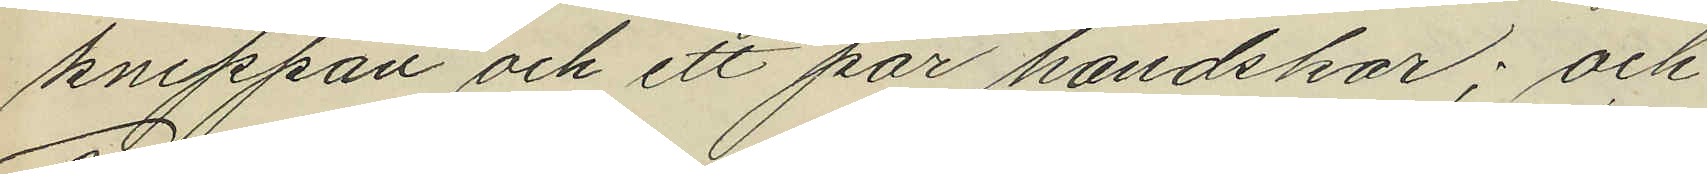knippan och ett par handskar; och
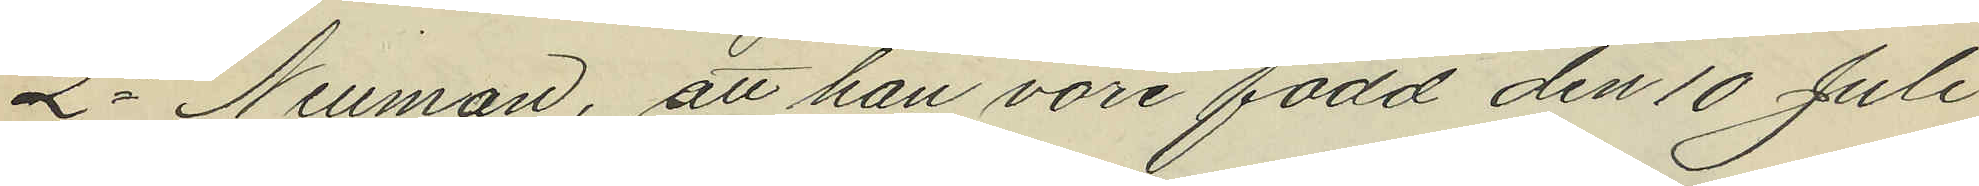2o Neuman, att han vore född den 10 Juli
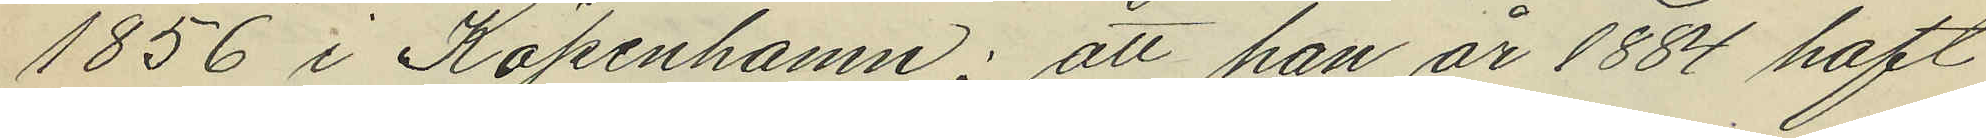1856 i Köpenhamn; att han år 1884 haft
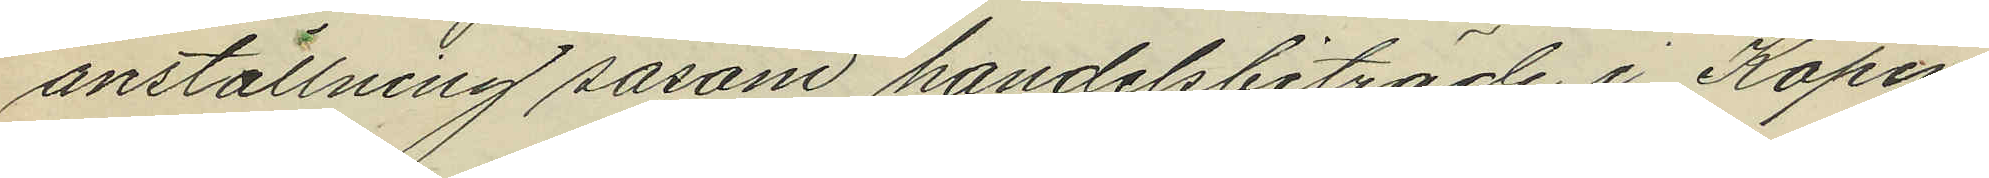anställning såsom handelsbiträde i Köpen¬
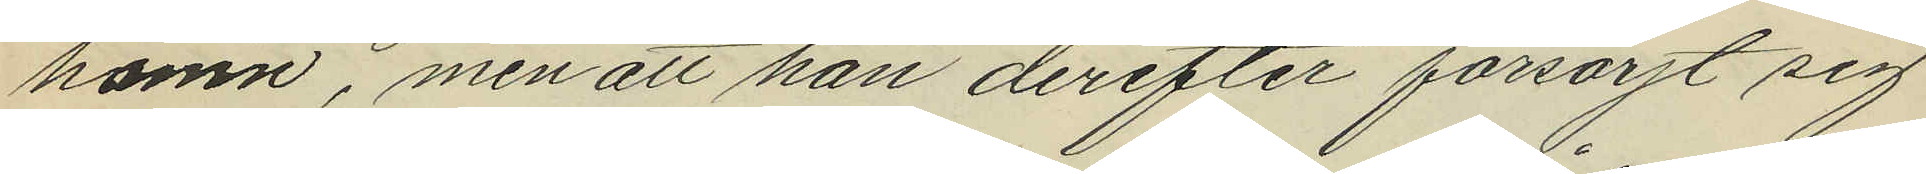hamn, men att han derefter försörjt sig
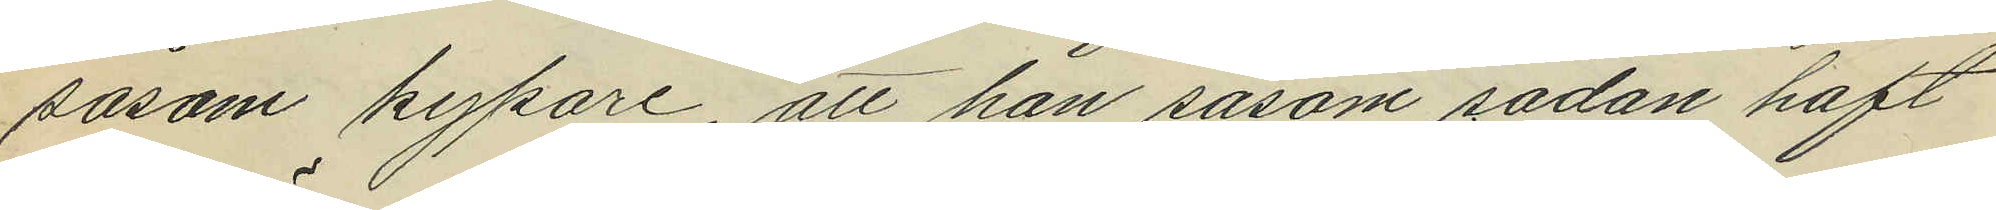såsom kypare, att han sasom sådan haft
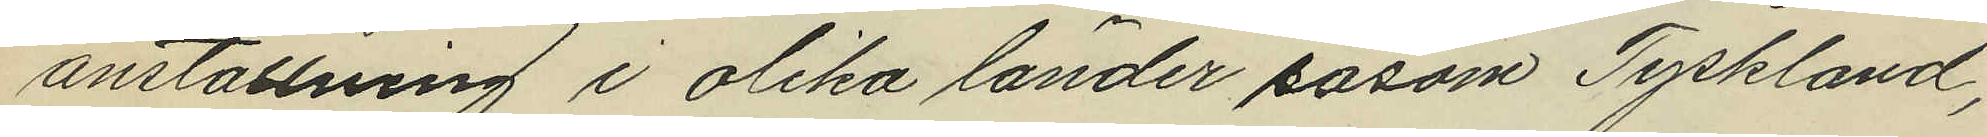anställning i olika länder sasom Tyskland,
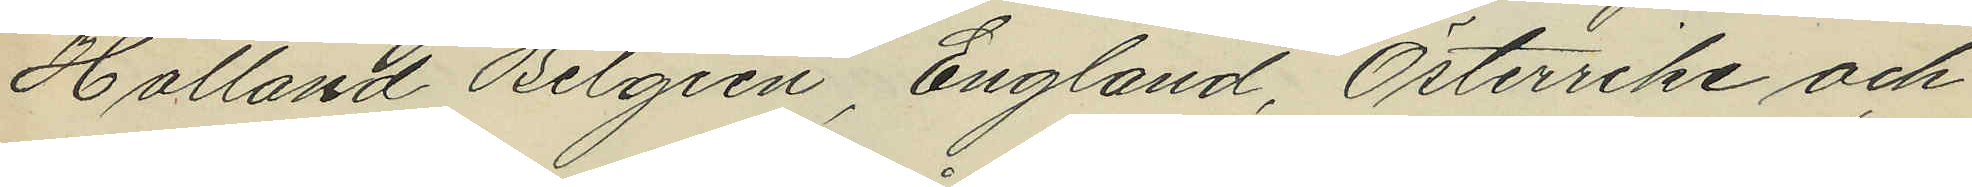Holland Belgien, England, Österrike och
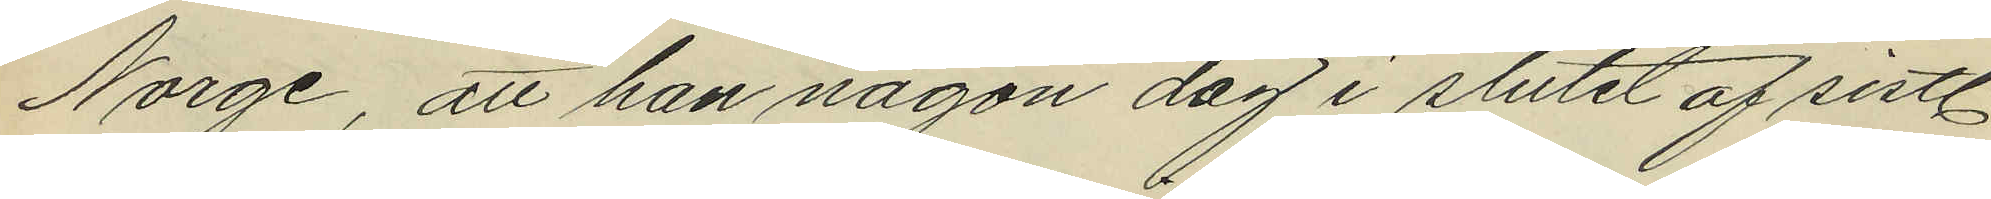Norge, att han någon dag i slutet af sistl
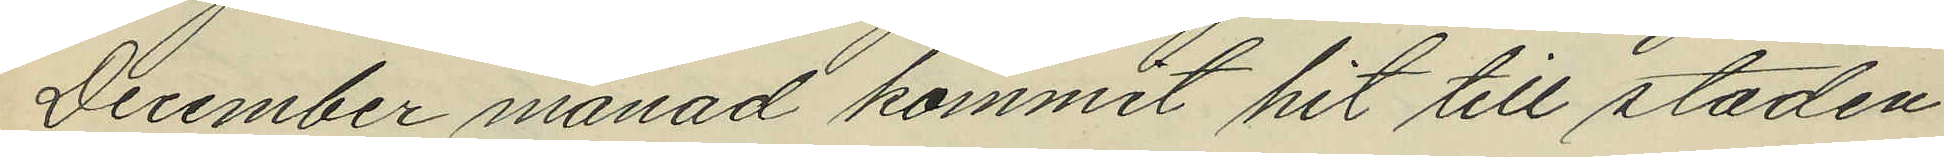December månad kommit hit till staden
